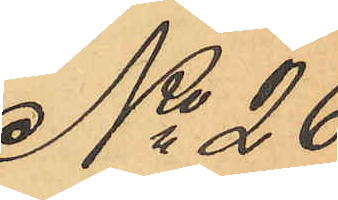No 26
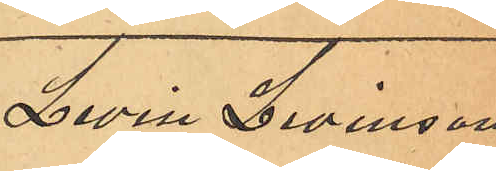Levin Levinsson
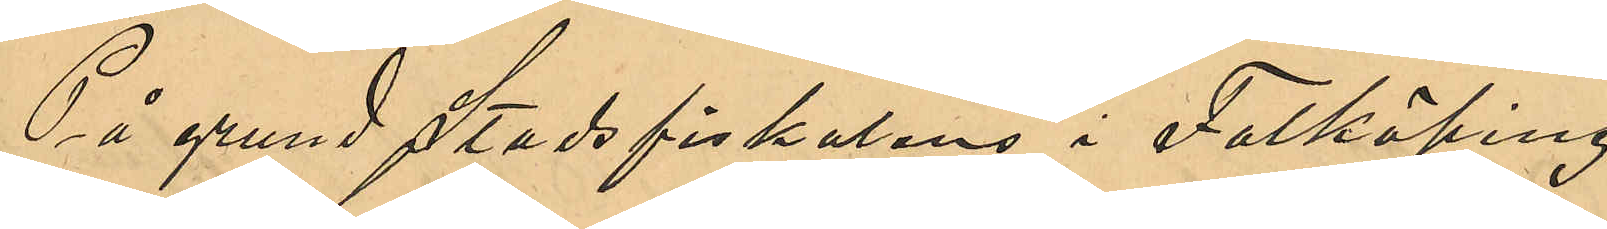På grund Stadsfiskalens i Falköping
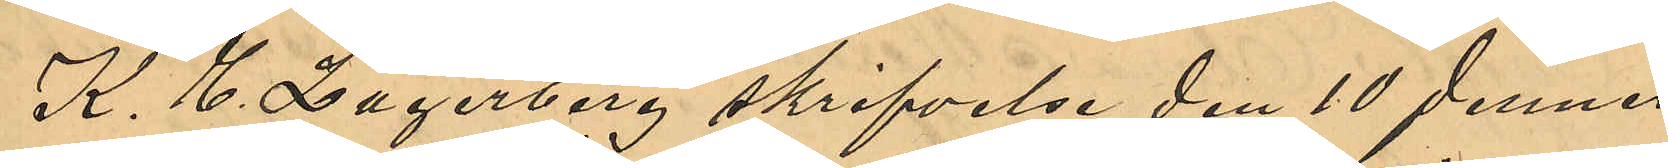K. E. Lagerberg skrifvelse den 10 dennes
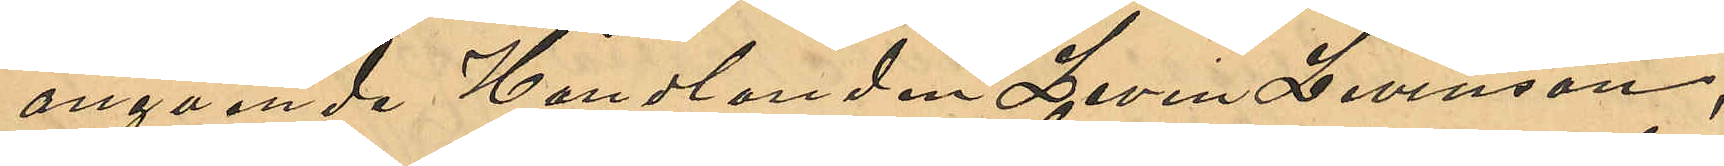angående Handlanden Levin Levinsson,
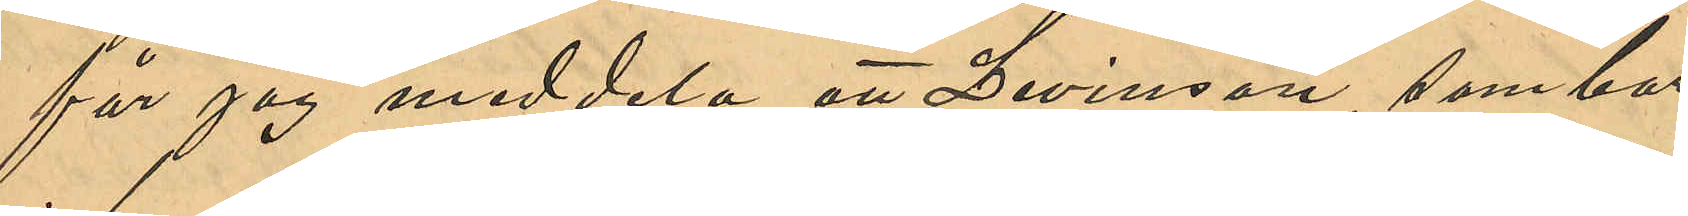får jag meddela att Levinsson, som bor
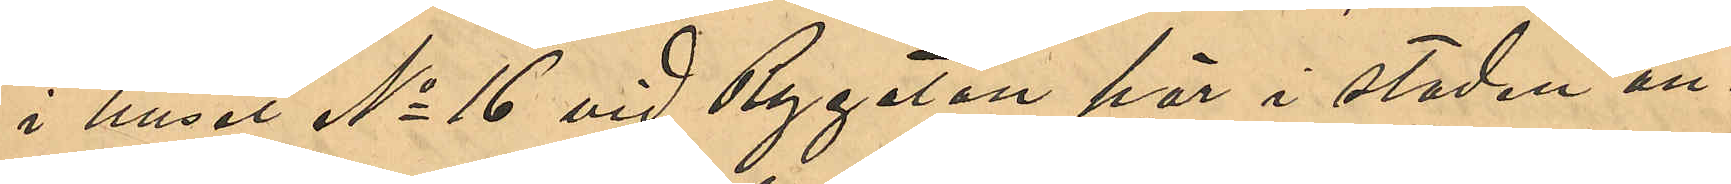i huset No 16 vid Rygatan här i staden an¬
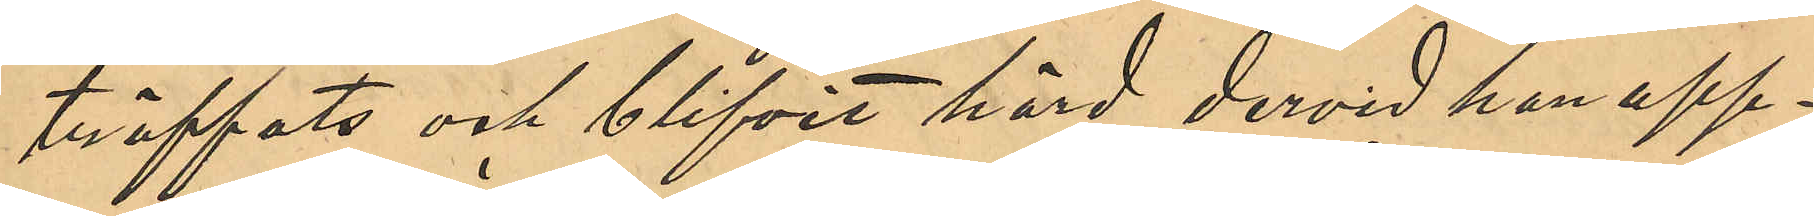träffats och blifvit hörd, dervid han upp¬
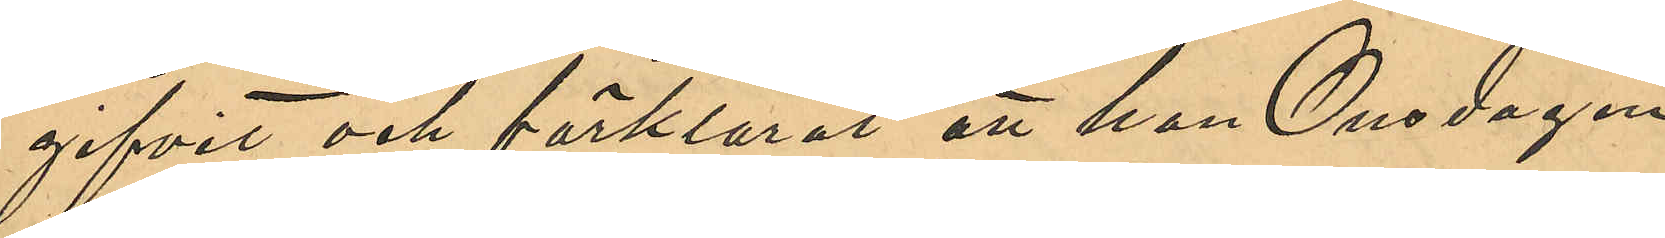gifvit och förklarat att han Onsdagen
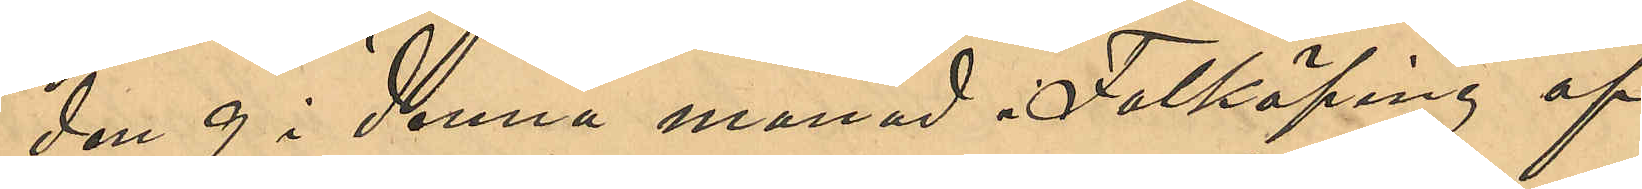den 9 i denna månad i Falköping af
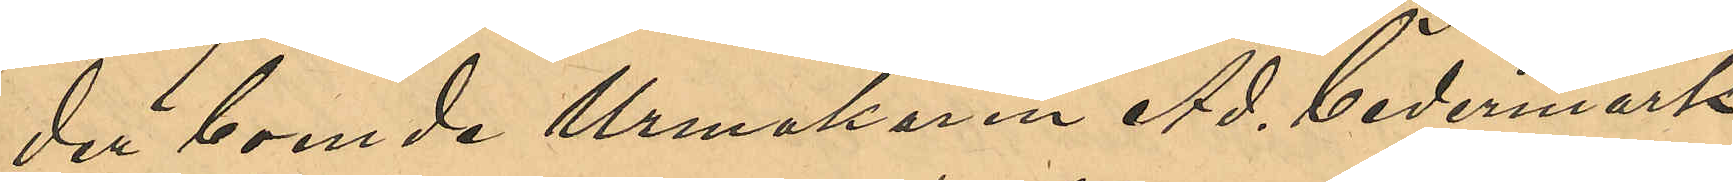der boende Urmakaren Ad. Cedermark
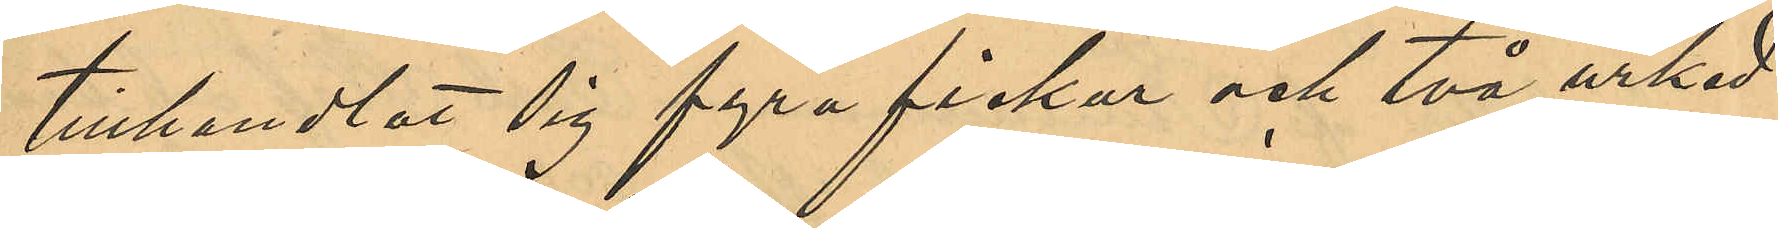tillhandlat sig fyra fickur och två urked¬
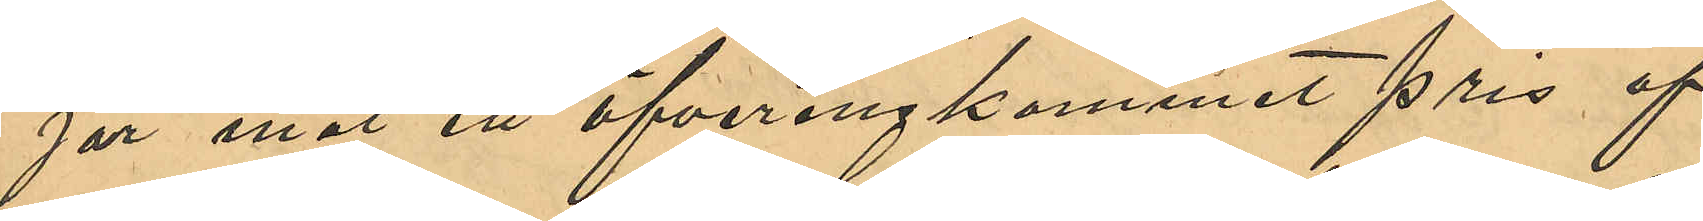jor mot ett öfverenskommet pris af
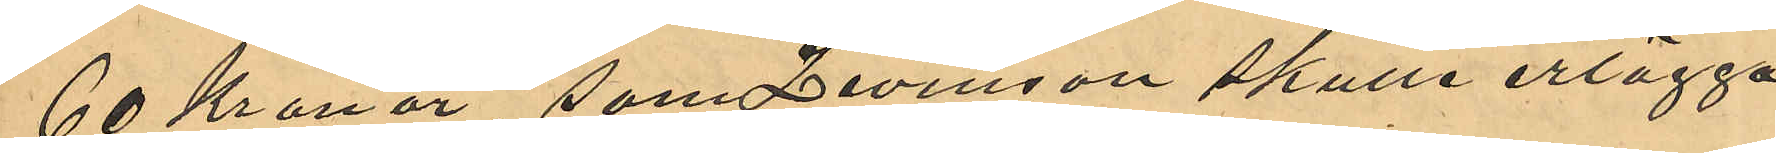60 Kronor, som Levisson skulle erlägga
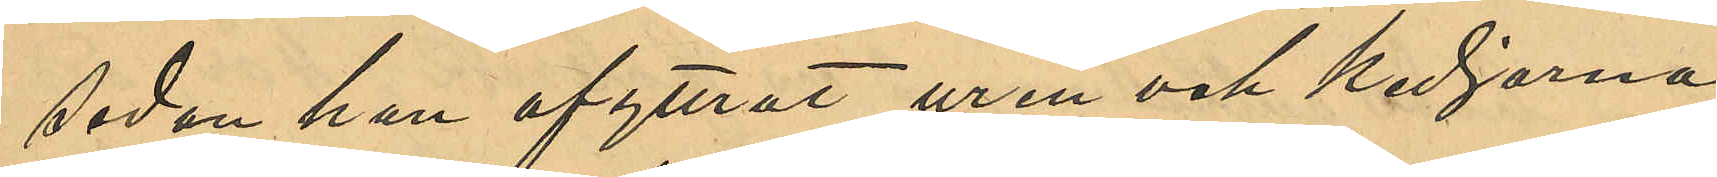sedan han afyttrat uren och kedjorna,
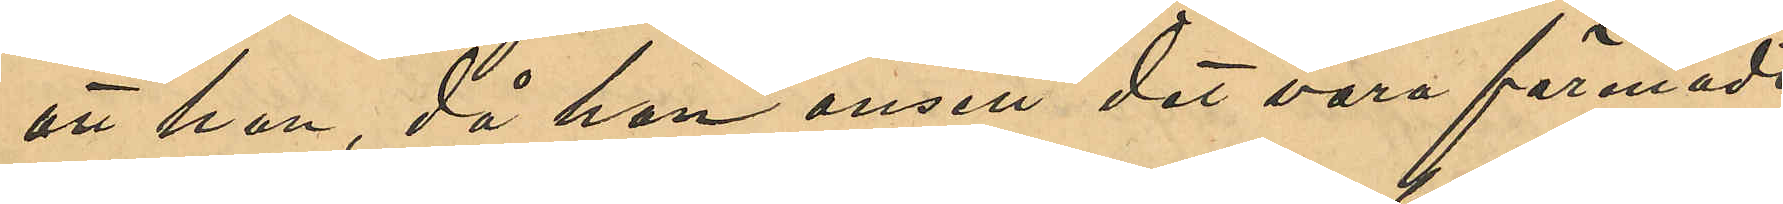att han, då han ansett det vara förenadt
